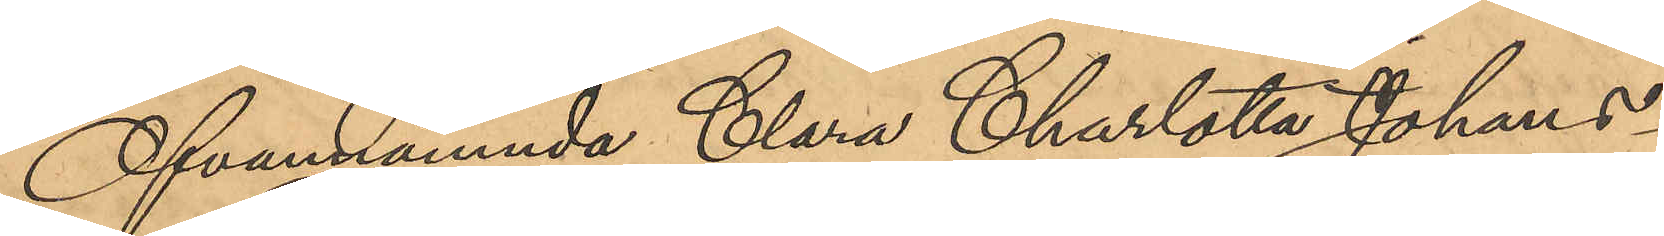Ofvannämnda Clara Charlotta Johans¬
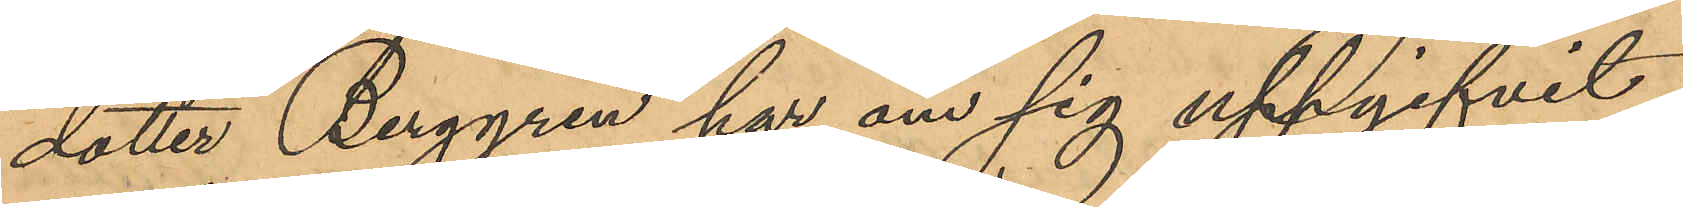dotter Berggren har om sig uppgifvit,
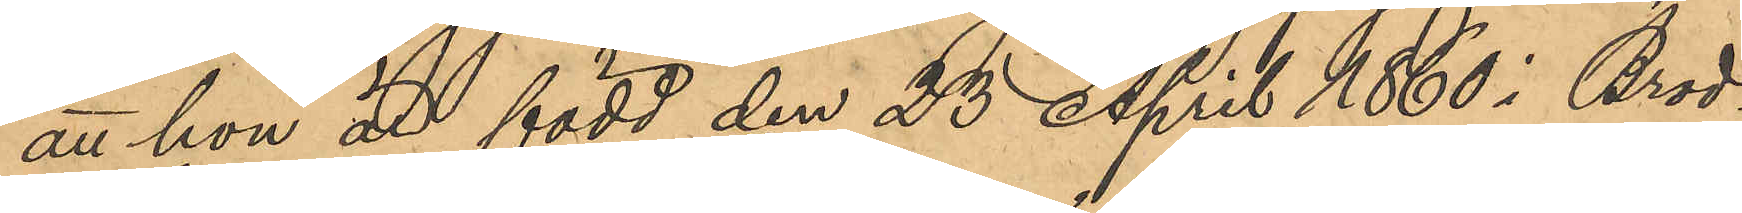att hon är född den 25 April 1860 i Brod¬
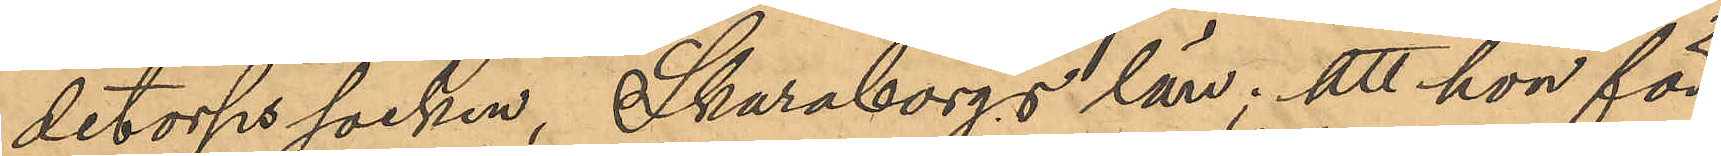detorps socken, Skaraborgs län; att hon för
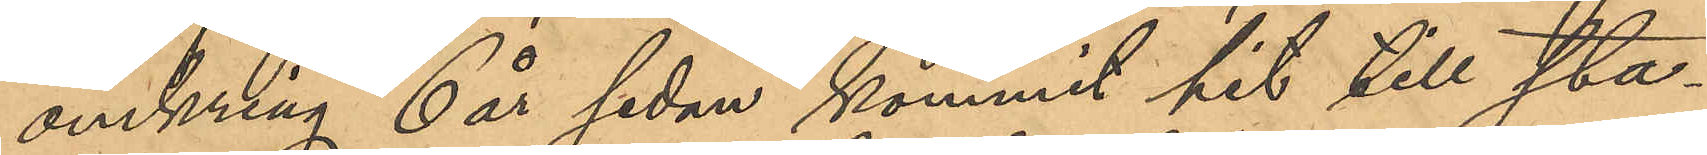omkring 6 år sedan kommit hit till sta¬
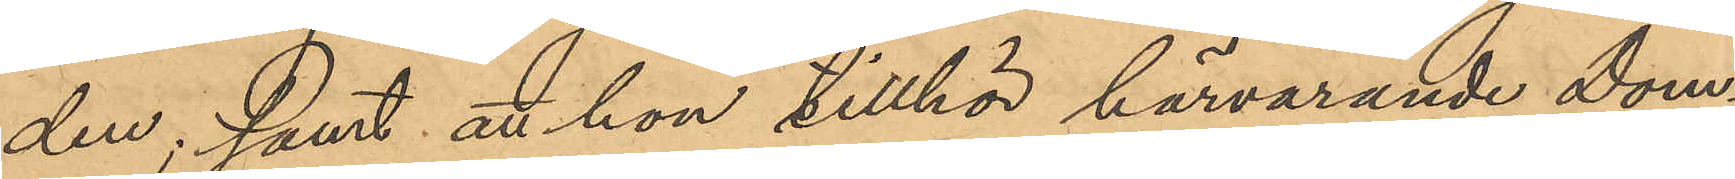den; samt att hon tillhör härvarande Dom¬
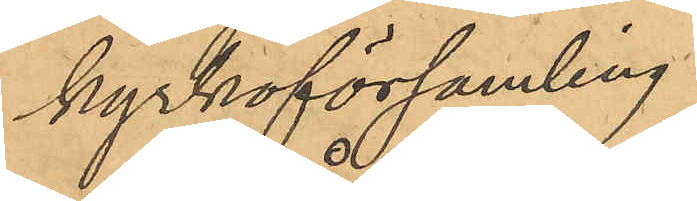kyrkoförsamling.
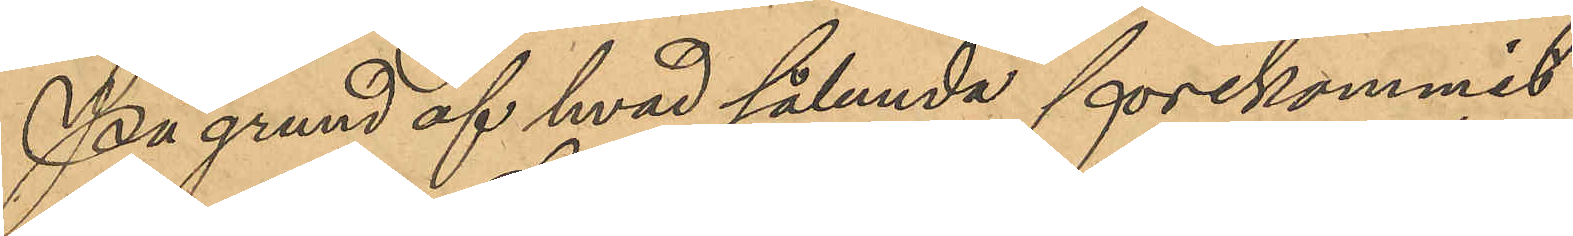På grund af hvad sålunda förekommit
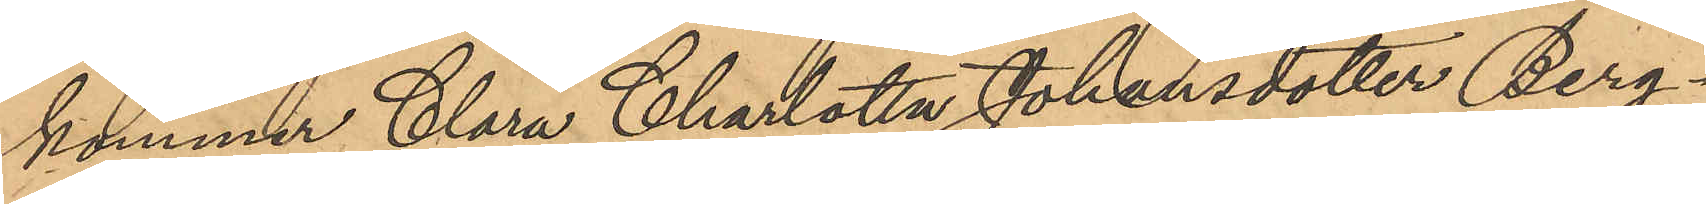kommer Clara Charlotta Johansdotter Berg¬
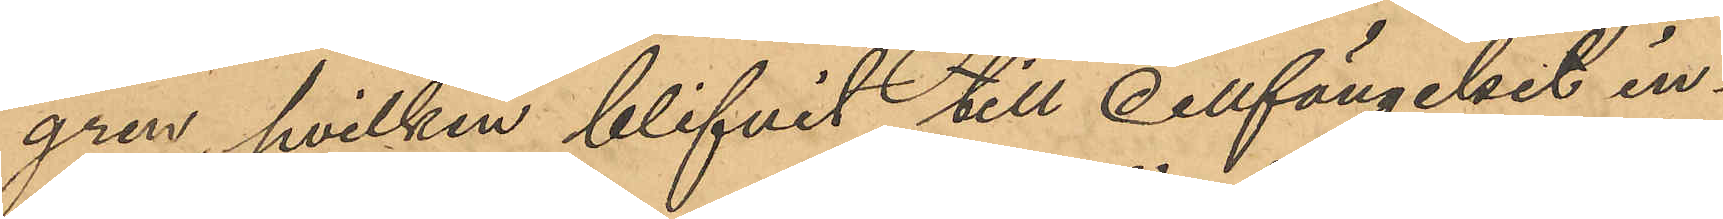gren, hvilken blifvit till Cellfängelset in¬
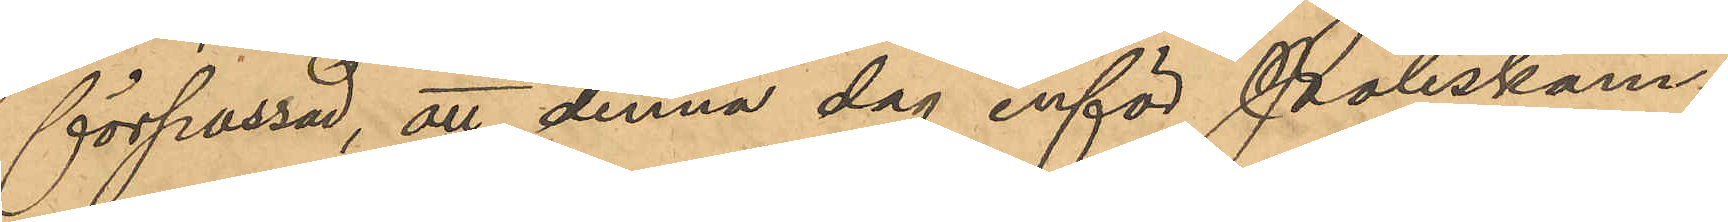förpassad, att denna dag inför Poliskam¬
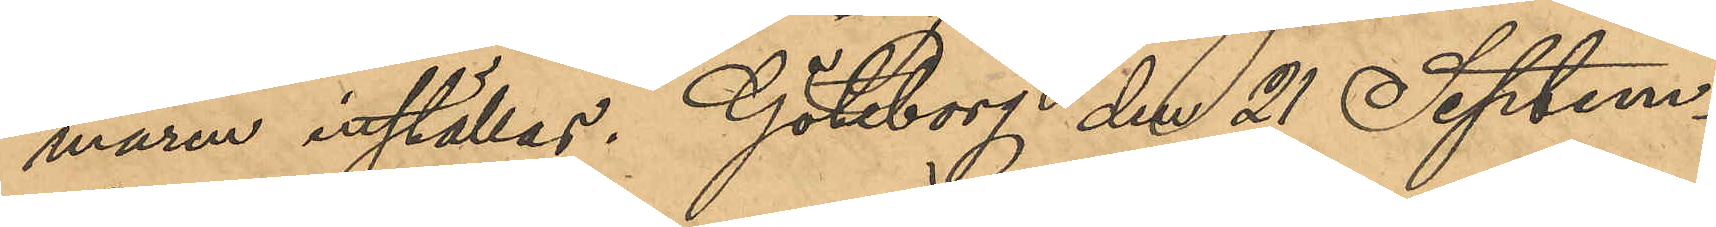maren inställas. Göteborg den 21 Septem¬
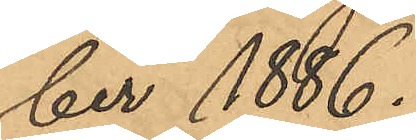ber 1886.
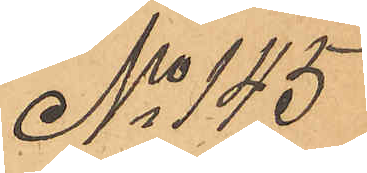No 145
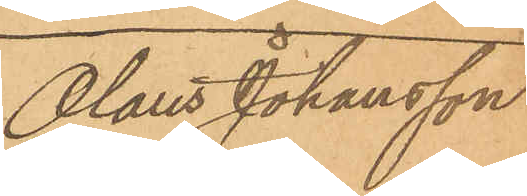Olaus Johansson
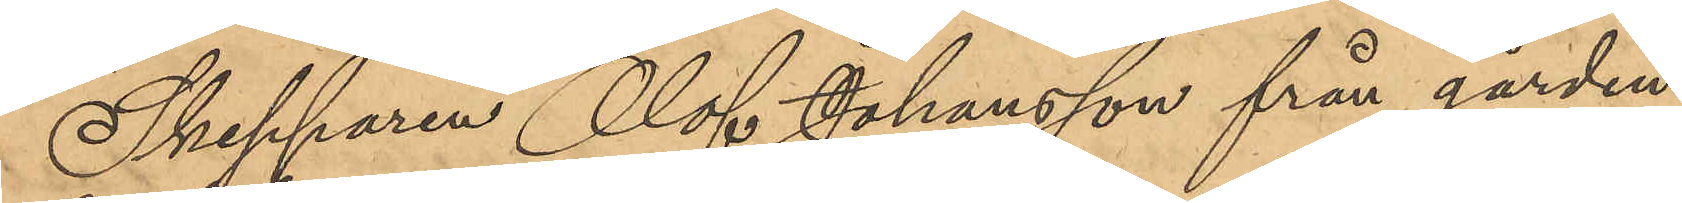Skepparen Olof Johansson från gården
